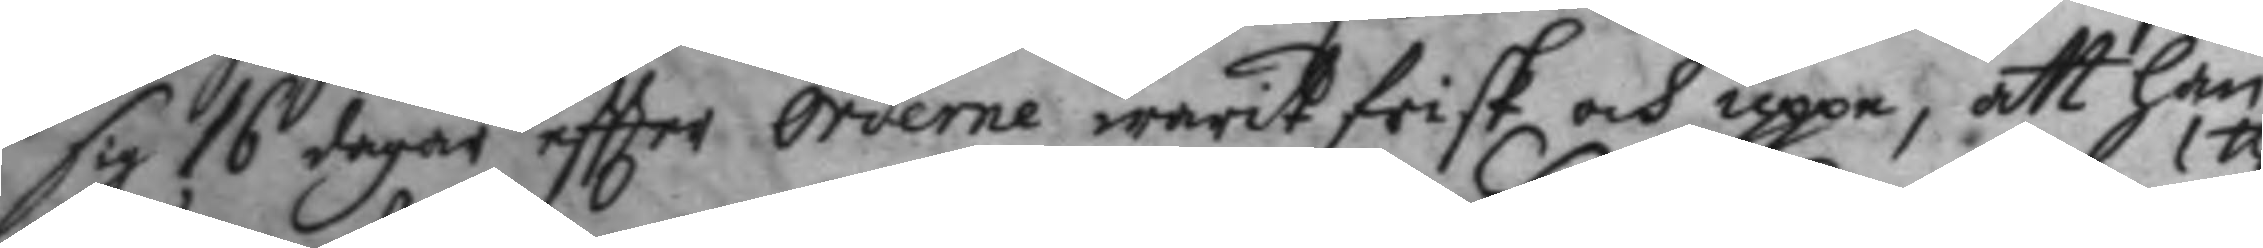sig 16 dagar eftter orderne warit frisk och uppe, att han
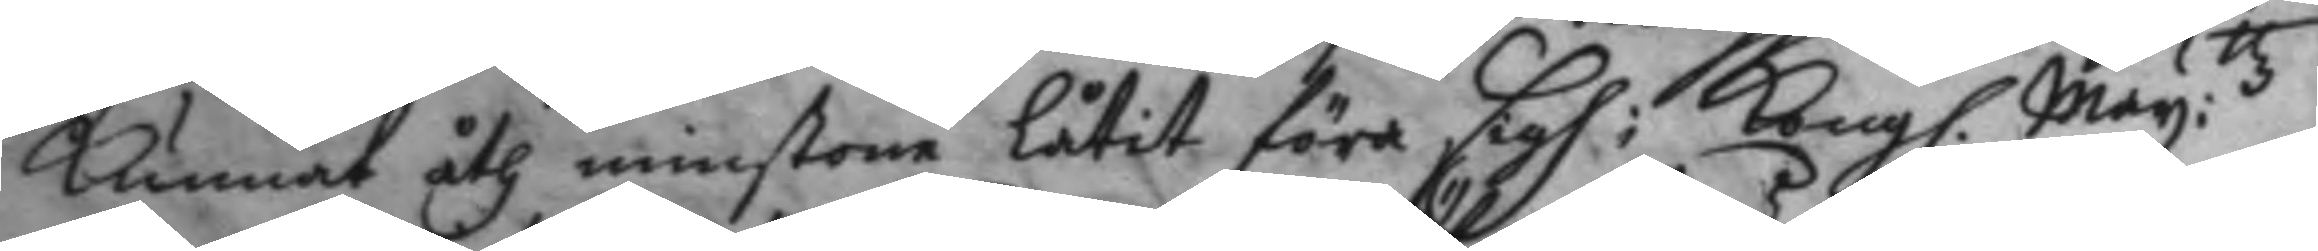Kunnat åth minstone låtit föra sigh: Kong. May:ttz
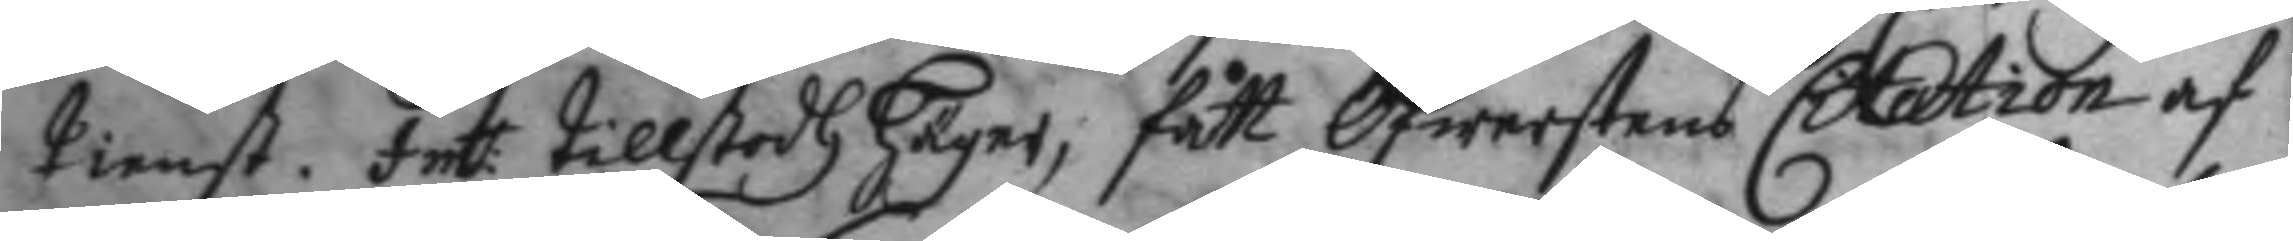tienst. Imt: tillstodh Häger, fått Öfwerstens Citation af
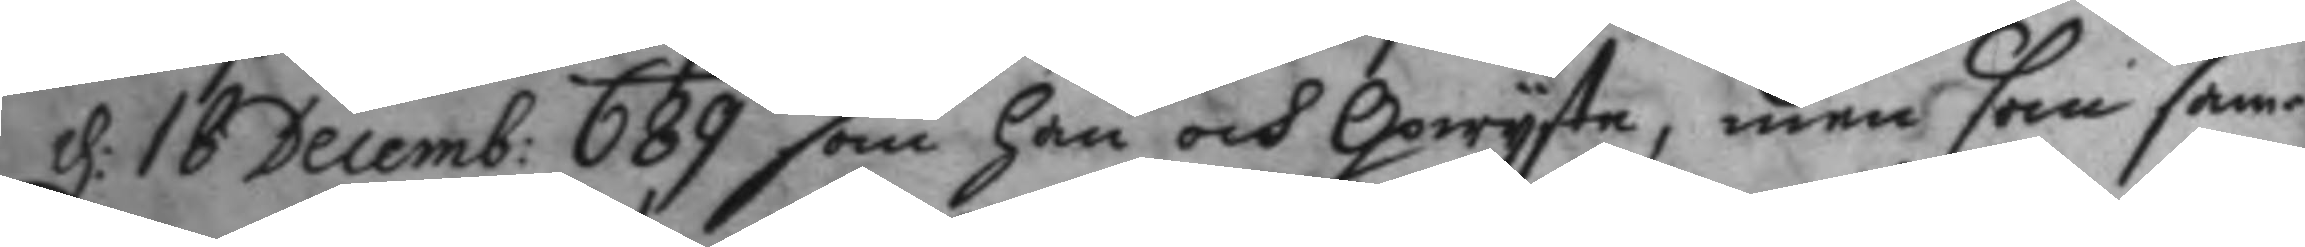d: 18 Decemb: 689 som han och Opwyste, men som sam¬
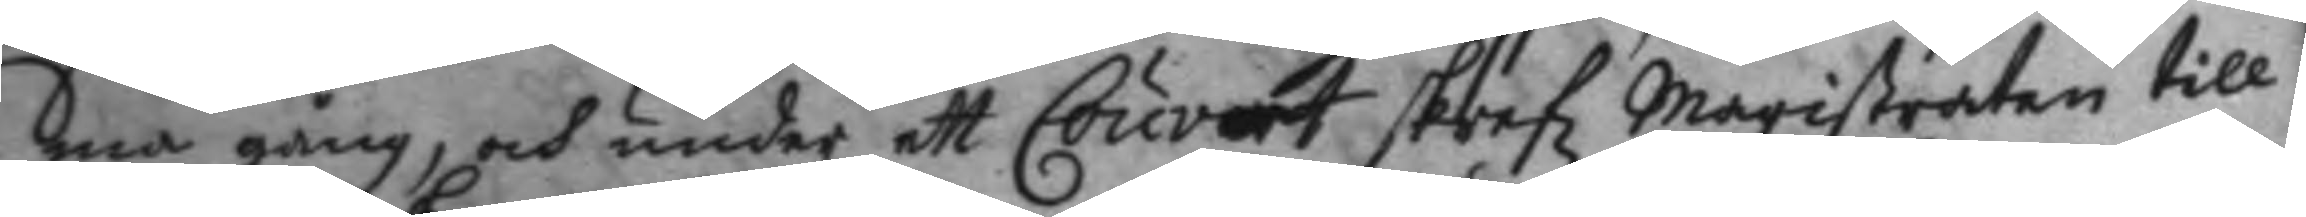ma gång, och under ett Couvert skrefz magistraten till
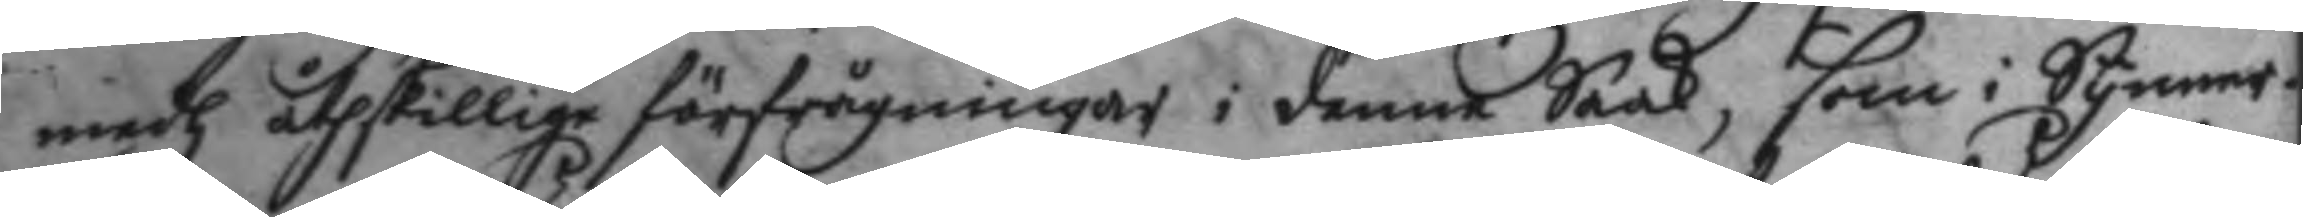medh åthskillige förfrågningar i denne Saak, som i Synner¬
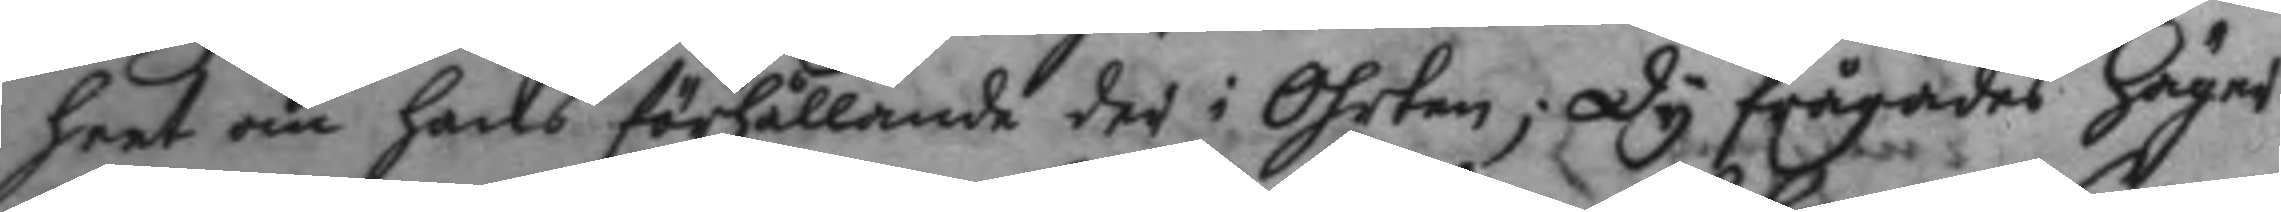heet om hans förhållande der i Orthen; dy frågades Häger
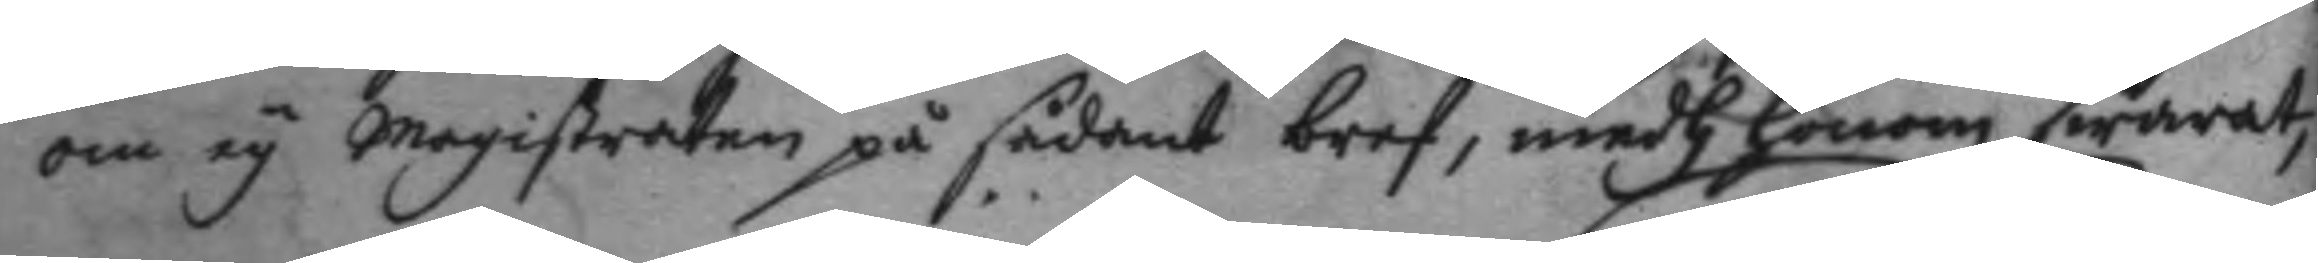om ey magistraten på sådant bref, medh honom swarat,
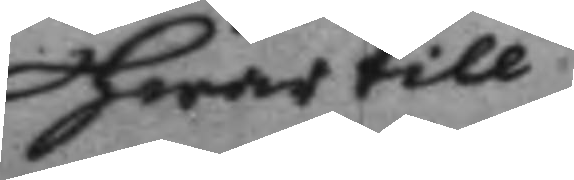Hwar till
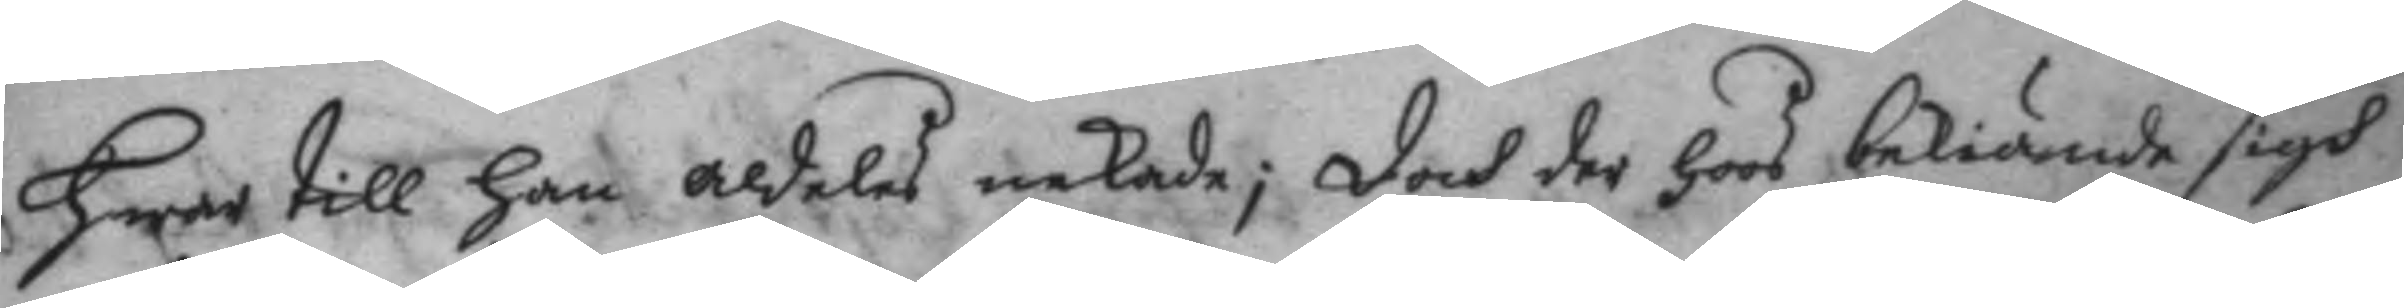Hwar till han aldeles nekade; doch der hoos bekiände sigh
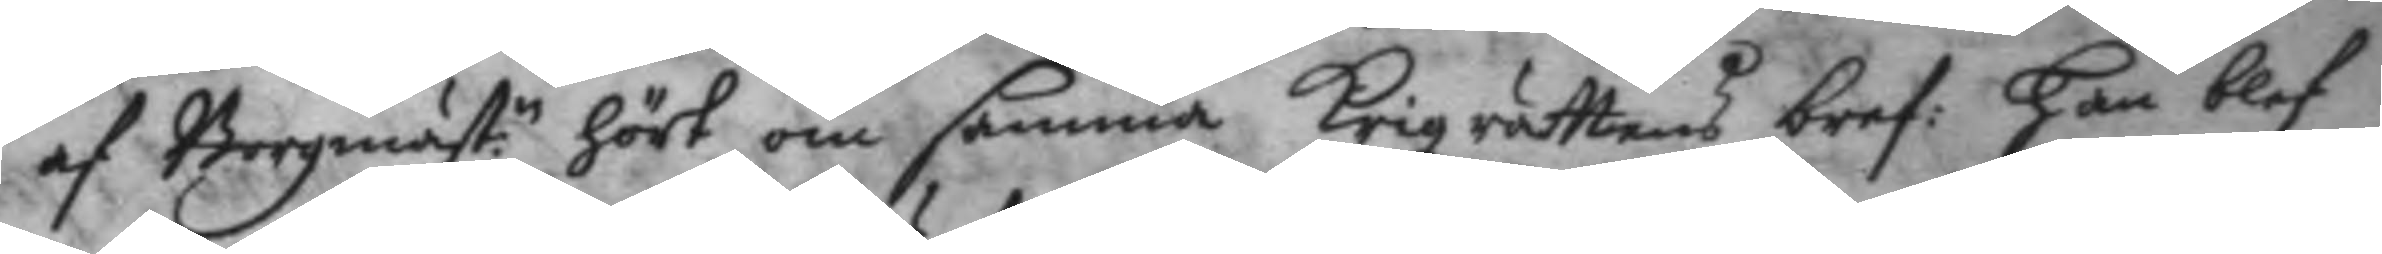af Borgmäst:n hört om samma Krigzrättens bref: Han blef
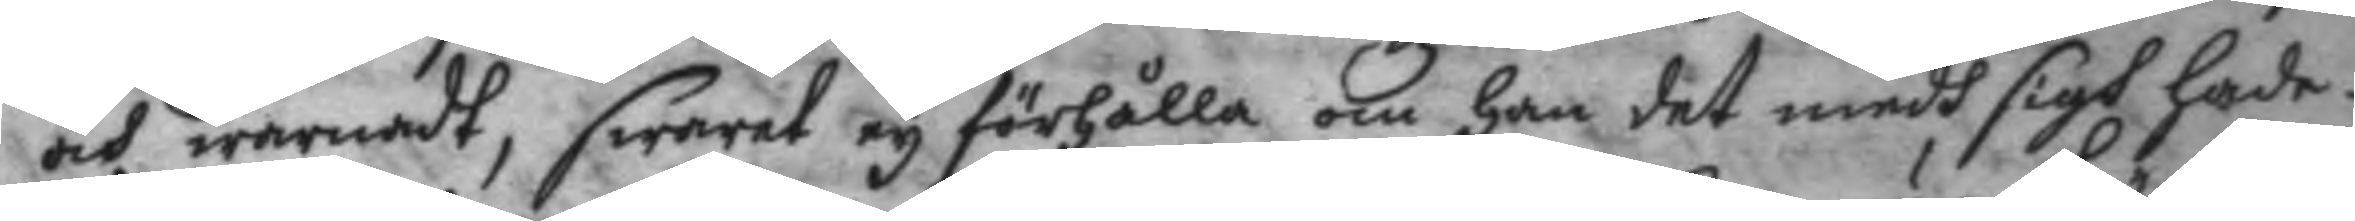och warnadt, swarat ey förhålla om han det medh sigh hade.
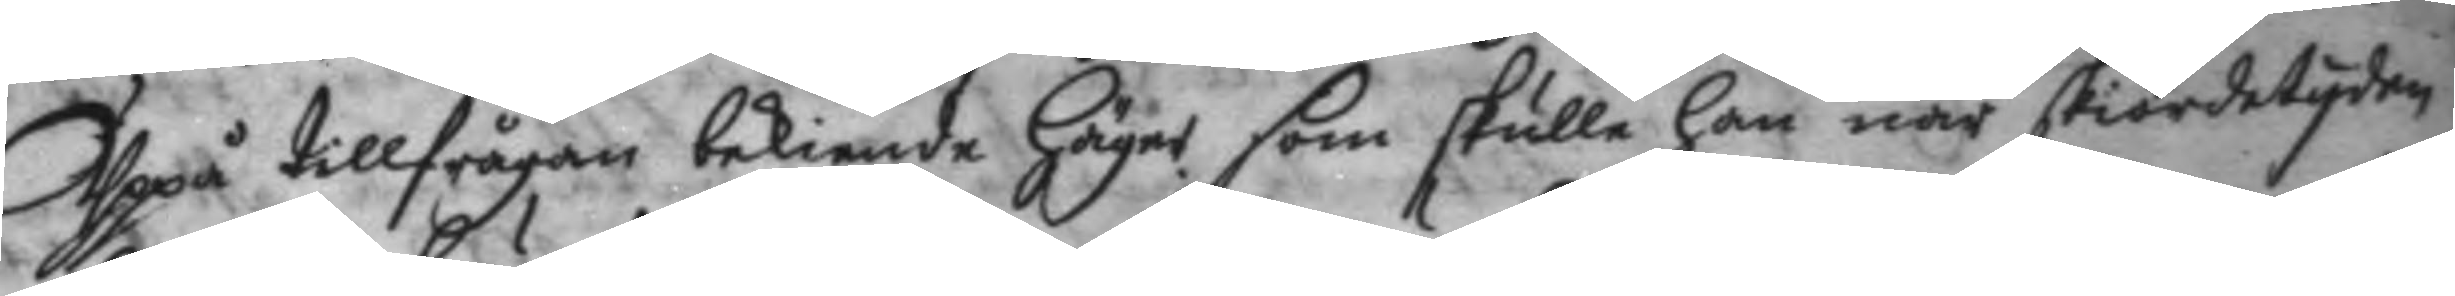Uppå tillfrågan bekiende Häger som skulle han när skiördetyden
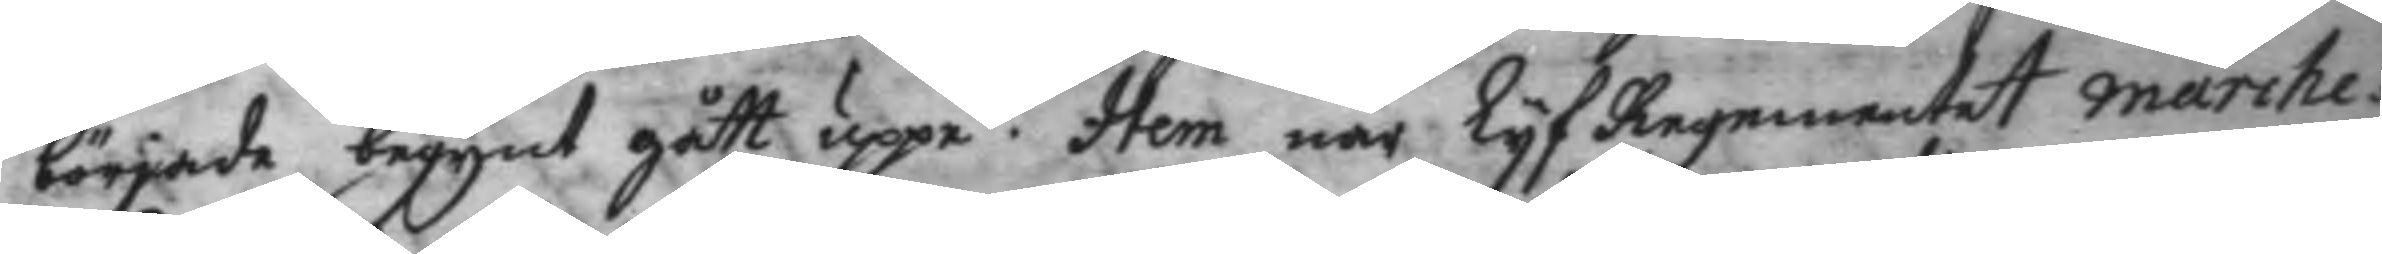började begynt gått uppe. Item när Lyf Regementet marche¬
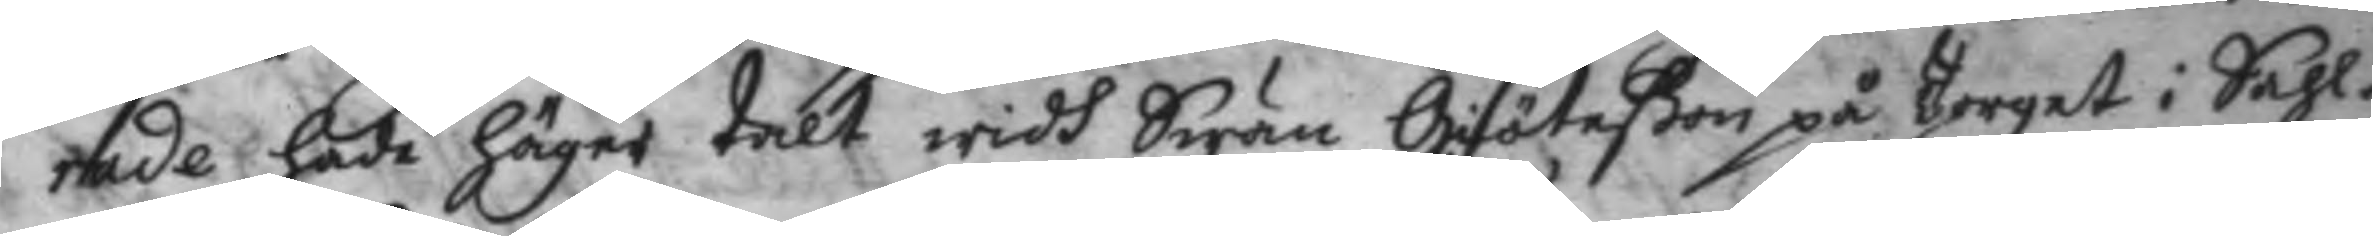rade hade Häger talt widh Swän Giöteßon på Torget i Sahl¬
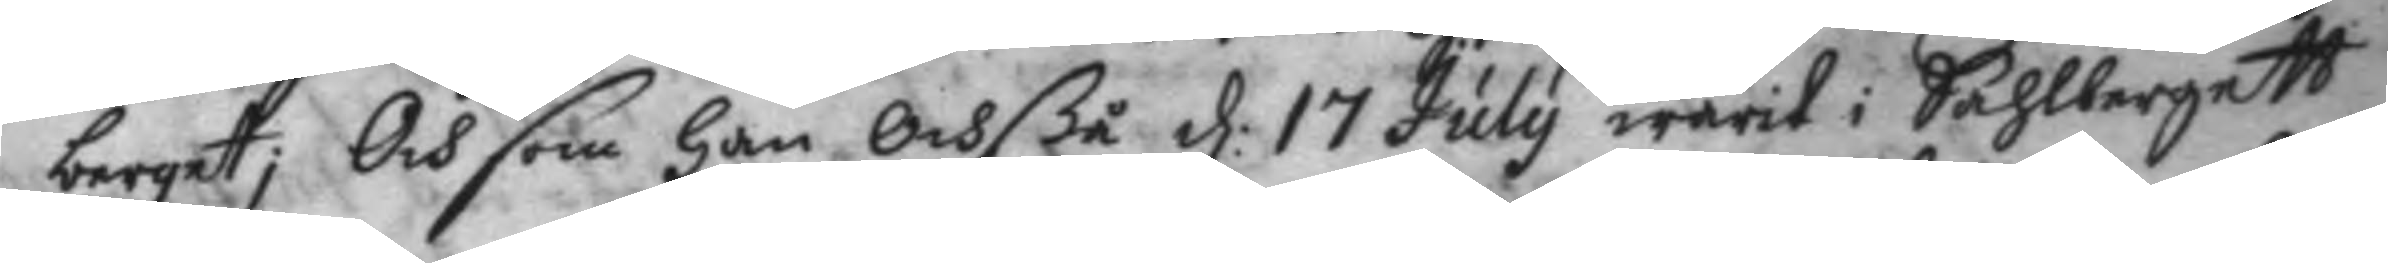bergett; Och som han Ochßå d: 17 July warit i Sahlbergett
